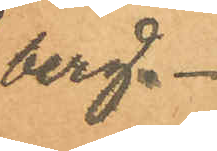berg.
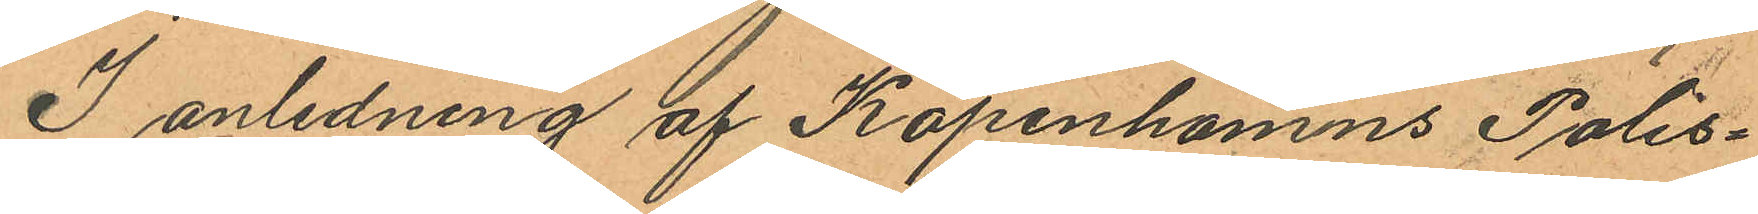I anledning af Köpenhamns Polis¬
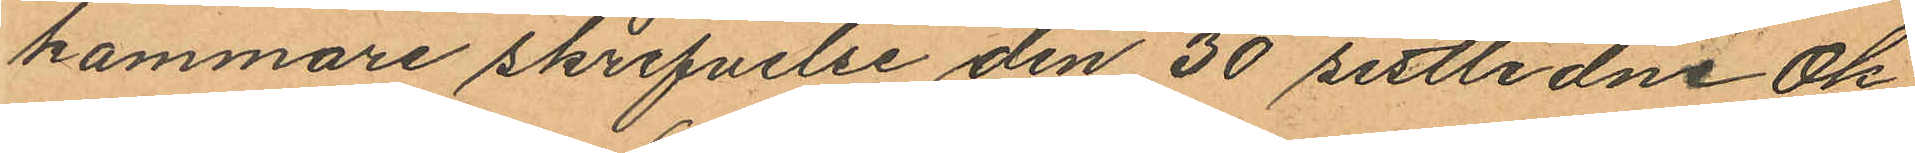kammare skrifvelse den 30 sistlidne Ok
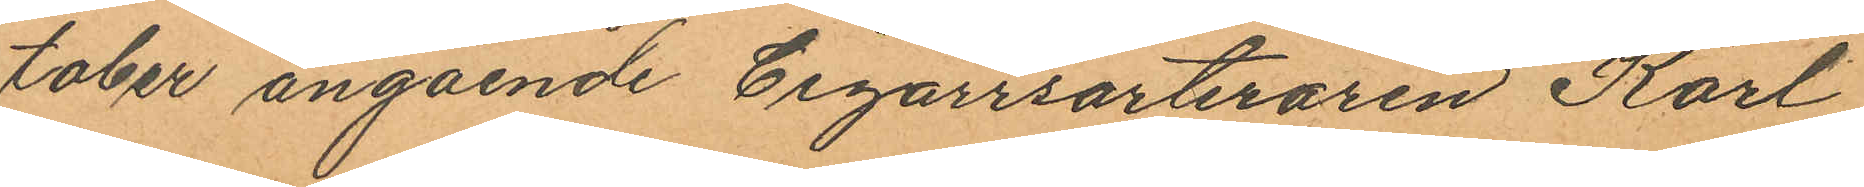tober angående Cigarrsorteraren Karl
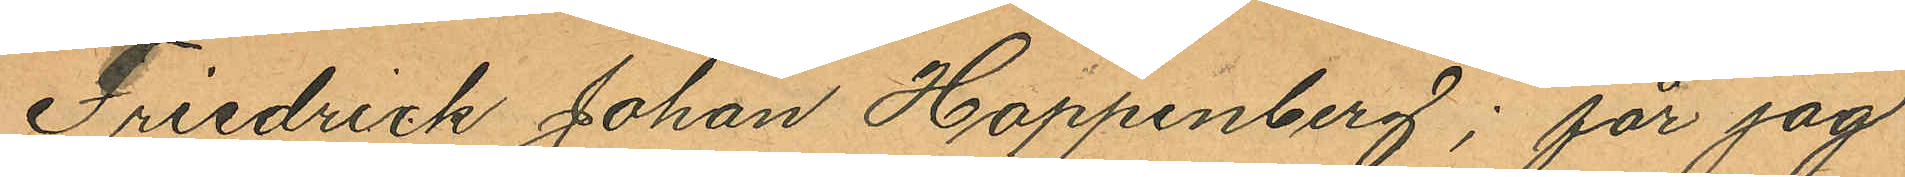Friedrick Johan Hoppenberg; får jag
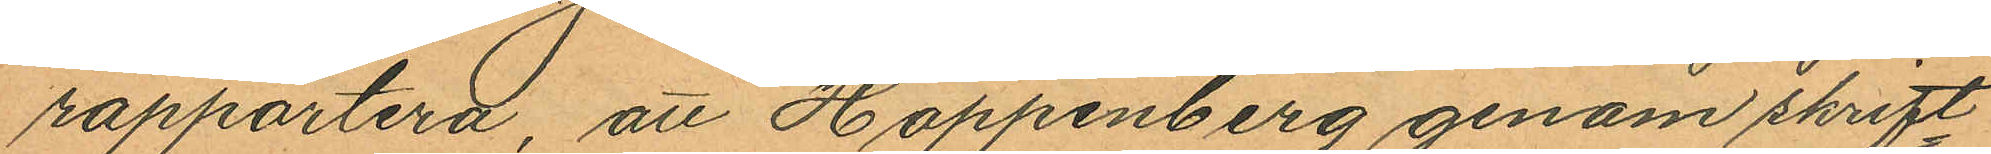rapportera, att Happenberg genom skrift¬
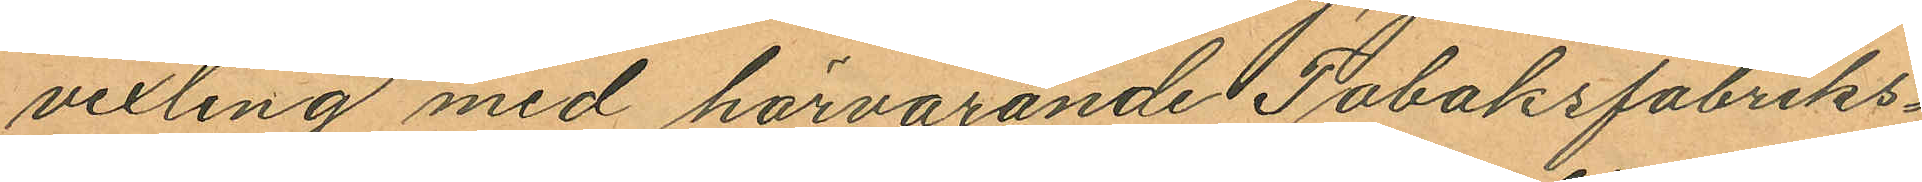vexling med härvarande Tobaksfabriks¬
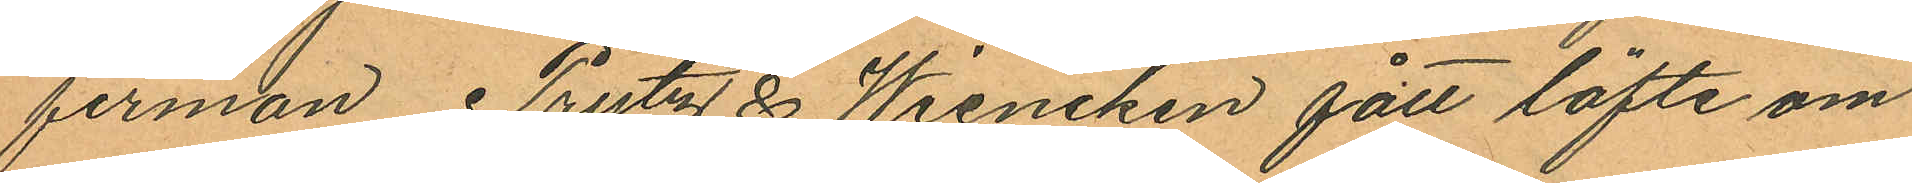firman Prytz & Wiencken fått löfte om
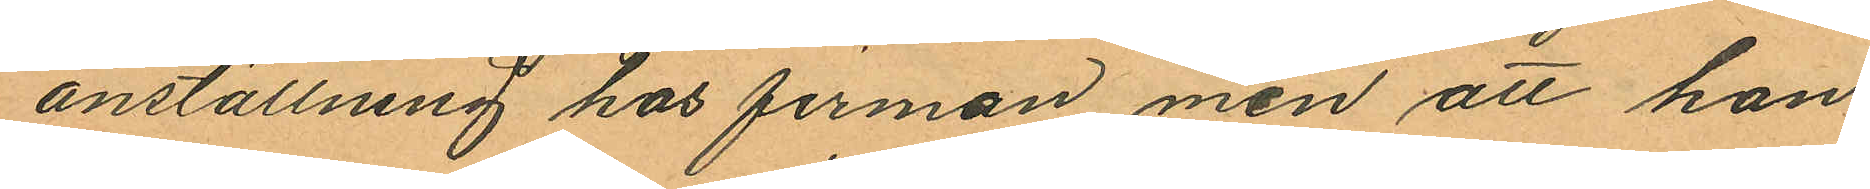anställning hos firman men att han
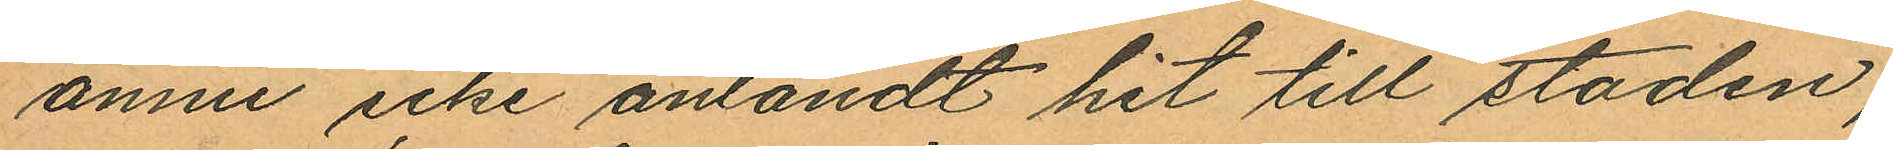ännu icke anländt hit till staden;
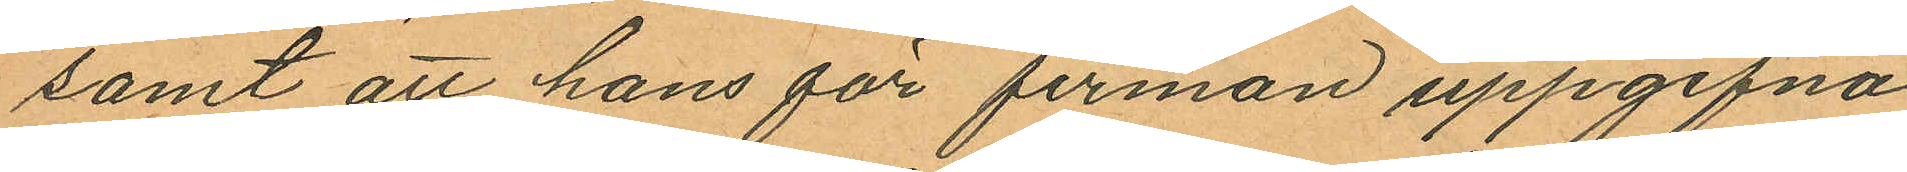samt att hans för firman uppgifna
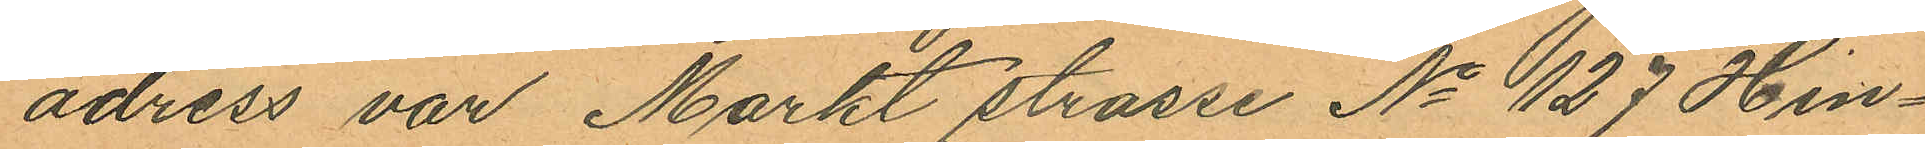adress var Markt strasse No 127 Hin¬
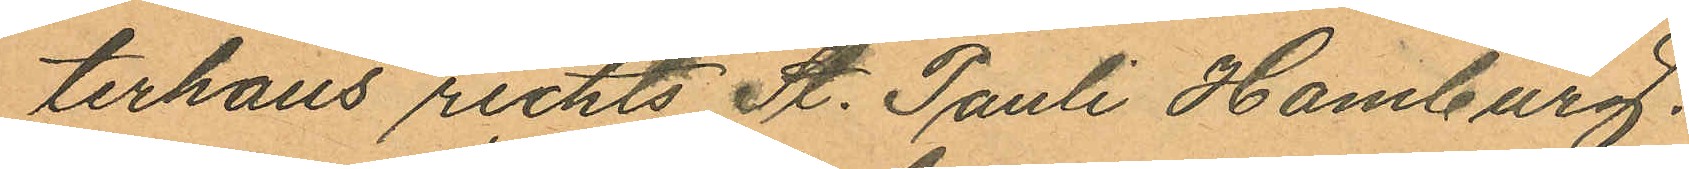terhaus richts St. Pauli Hamburg.
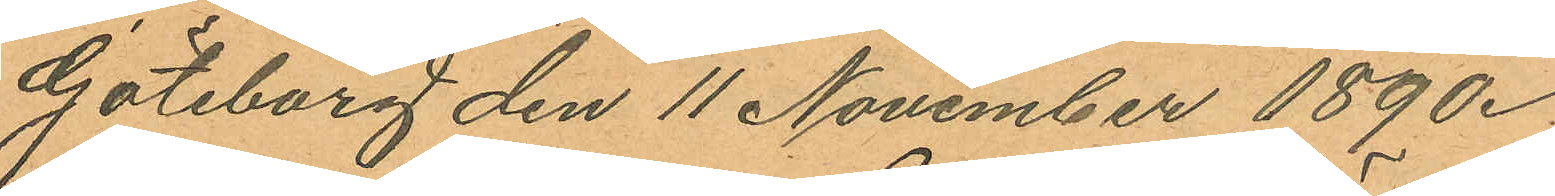Göteborg den 11 November 1890.
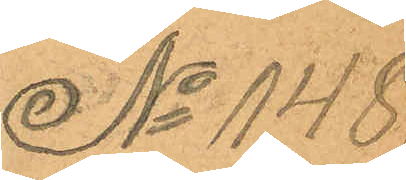No 148
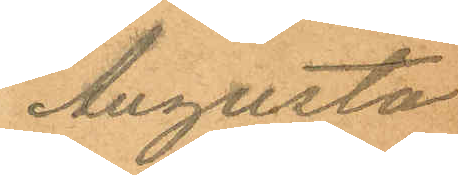Augusta
